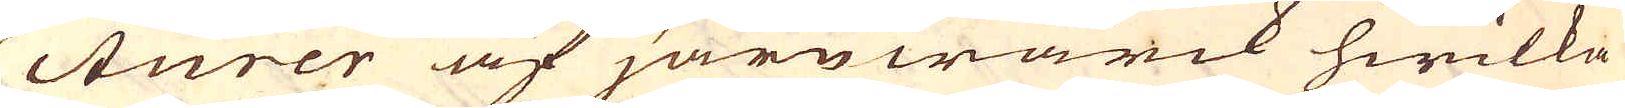cturer af järnwärck hwilka
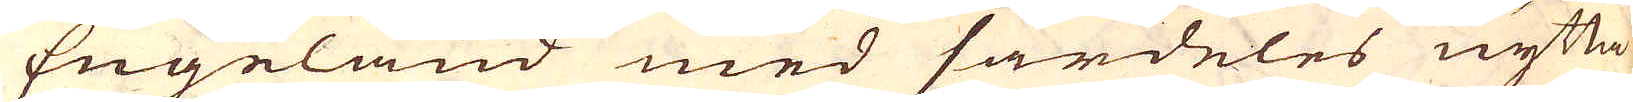Engeland med särdeles nytta
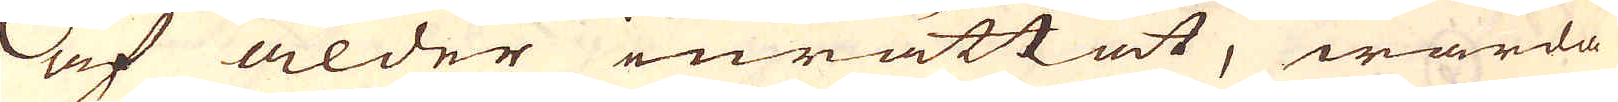af ålder inrättat, warda
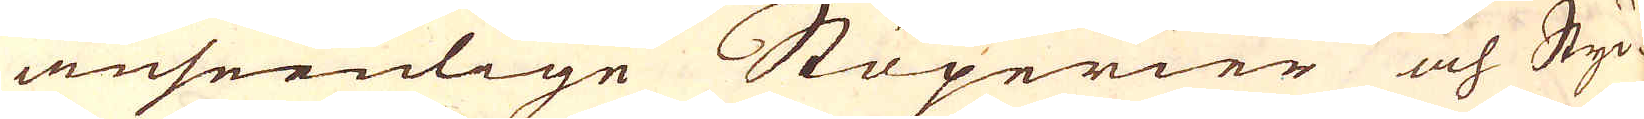anseenlige Stöperier och Styc-
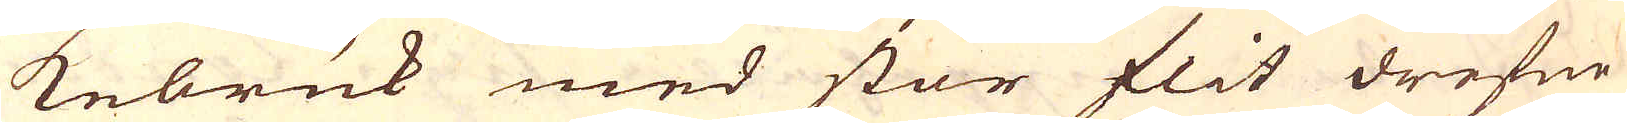kebruk med stor flit drefne
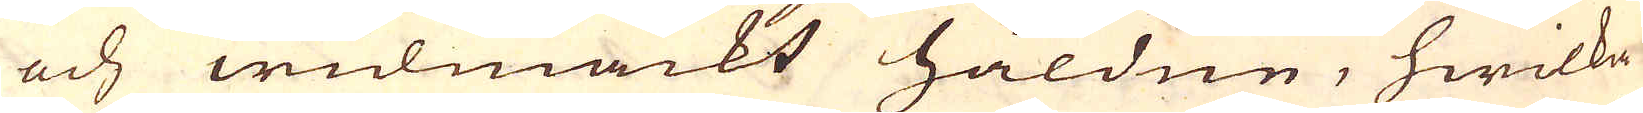och widmackt håldne, hwilka
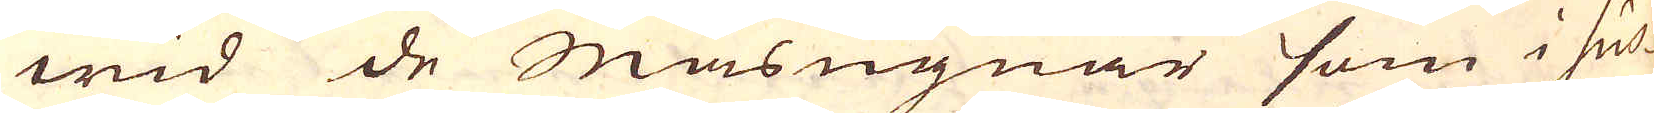wid de Masugnar som i Sus-
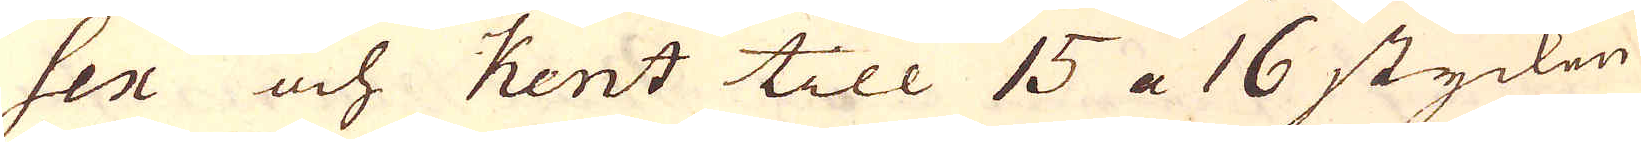sex och Kent till 15 a 16 stycken
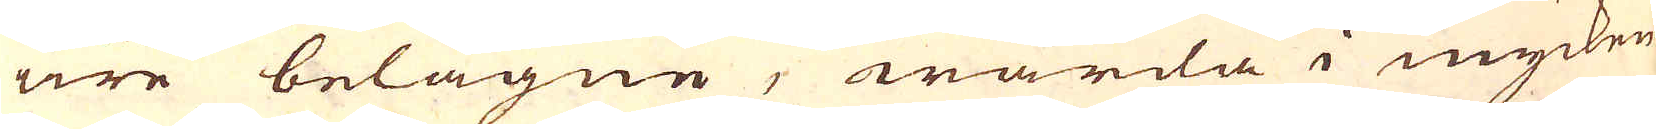äre belägne, warda i mycken-
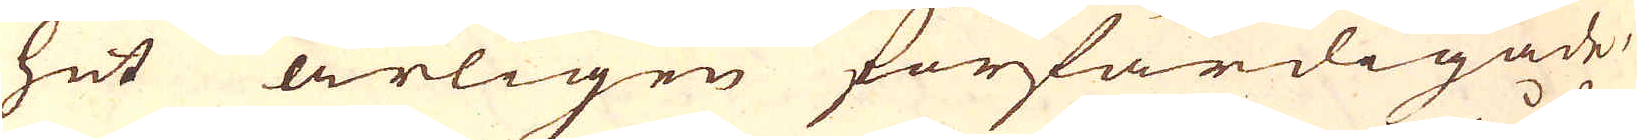het årligen förfärdigade,
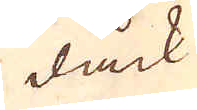dåck
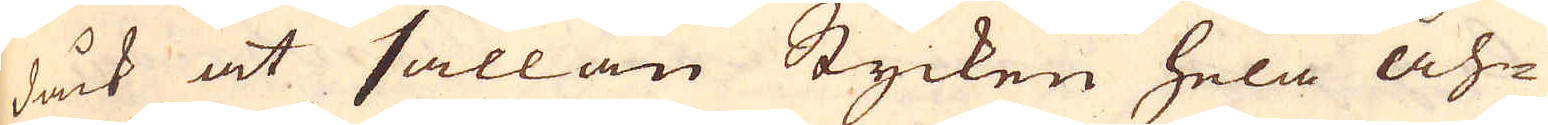dåck at sällan Stycken hela åh-
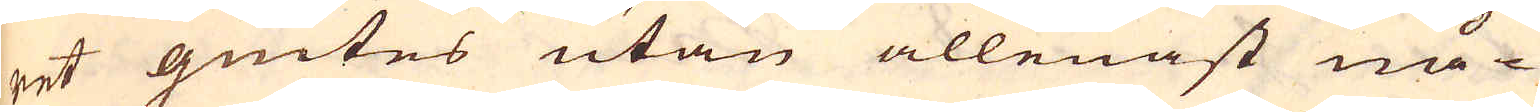ret giutes utan allenast nå-
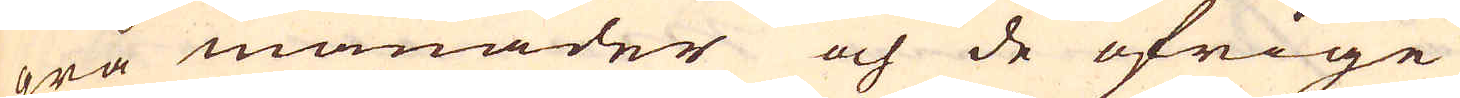gra månader och de öfrige
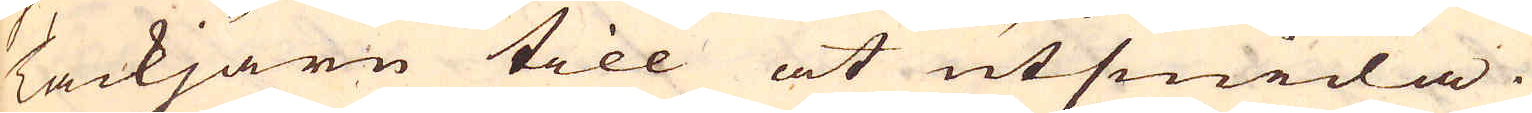Tackjärn till at utsmida.
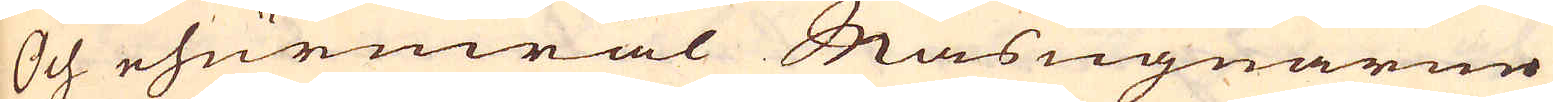Och ehuruwäl Masugnarne
